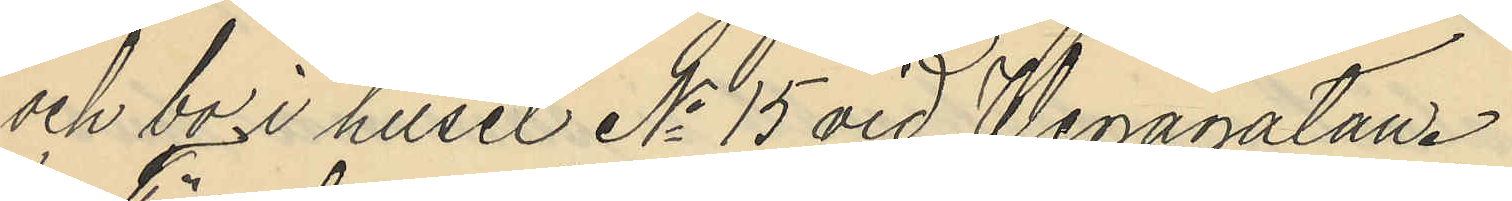och bo i huset No 15 vid Wegagatan.
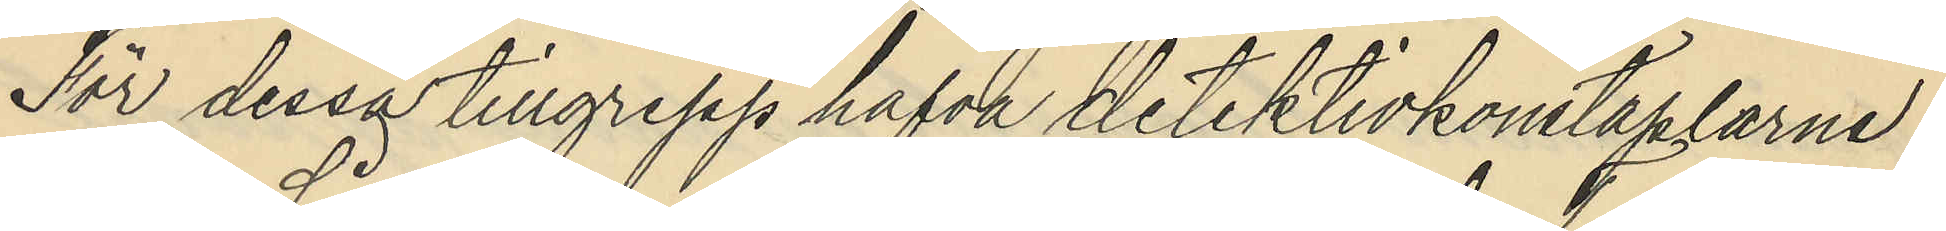För dessa tillgrepp hafva detektivkonstaplarne
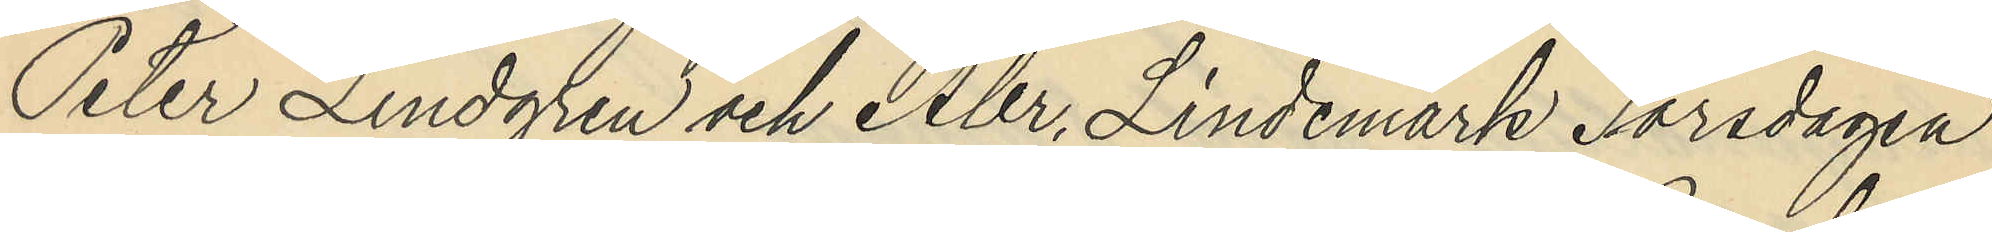Peter Lindgren och Abr. Lindemark Torsdagen
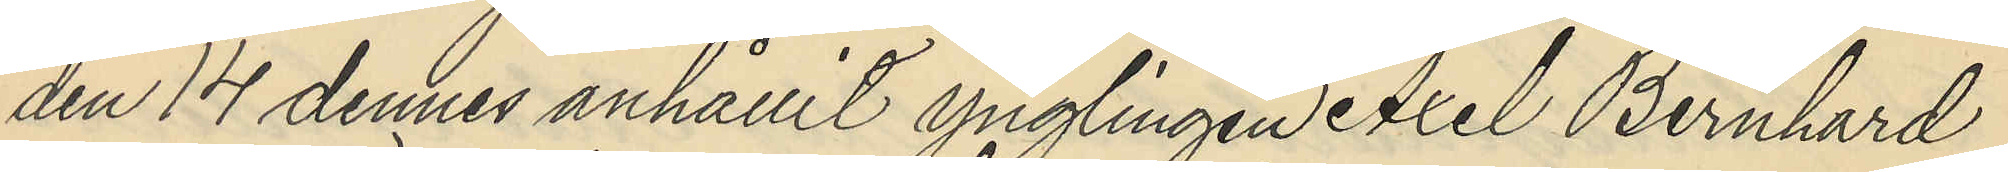den 14 dennes anhållit ynglingen Axel Bernhard
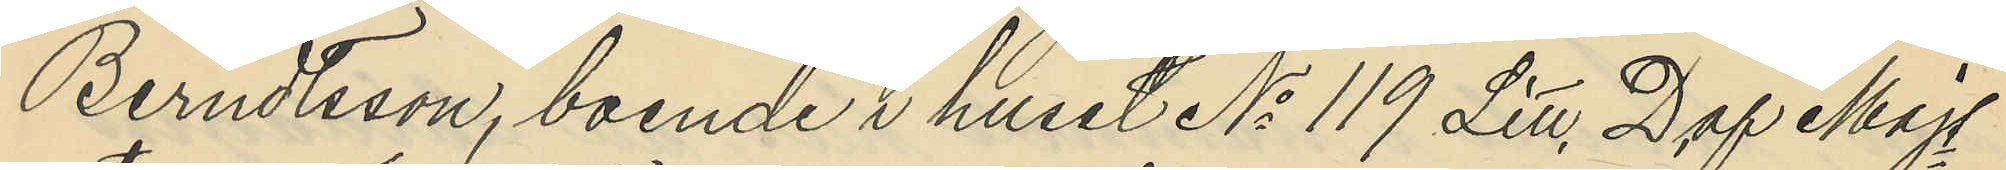Berndtsson, boende i huset No 119 Litt. D af Majs
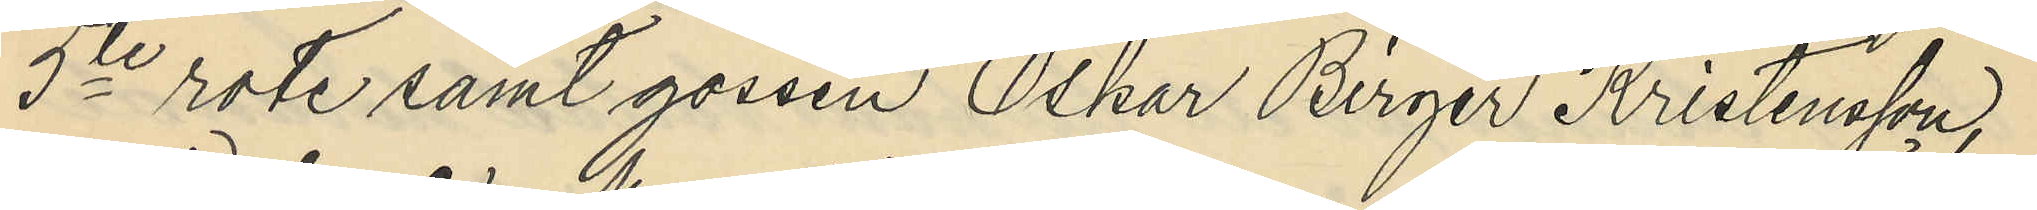5te rote samt gossen Oskar Birger Kristensson,
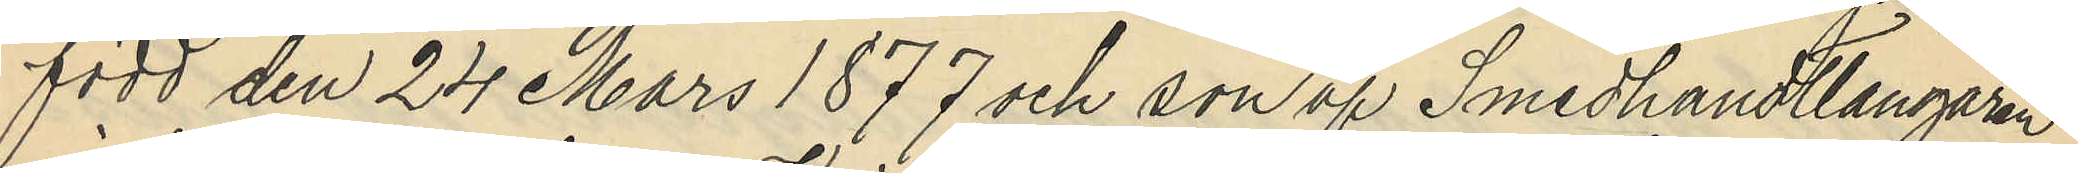född den 24 Mars 1877 och son af Smedhandtlangaren
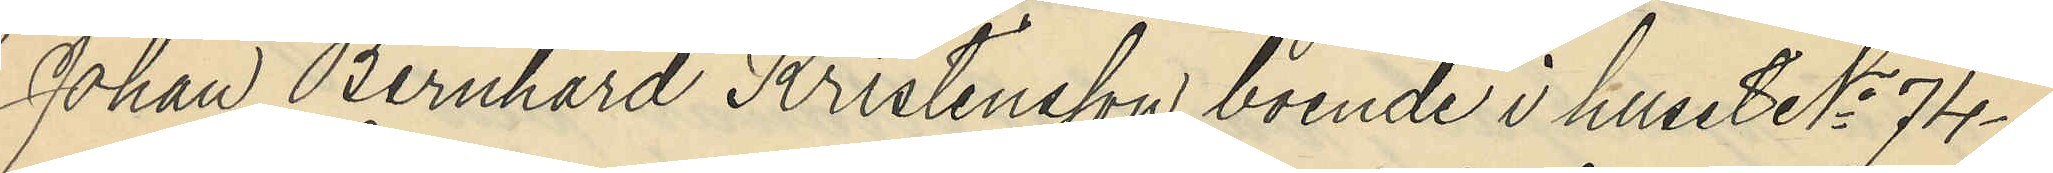Johan Bernhard Kristensson boende i huset No 74-
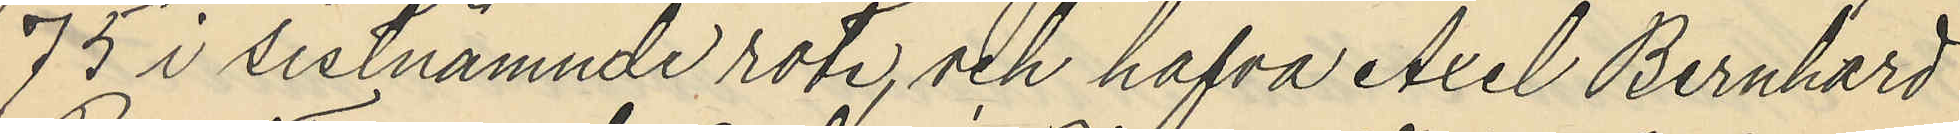75 i sistnämnde rote, och hafva Axel Bernhard
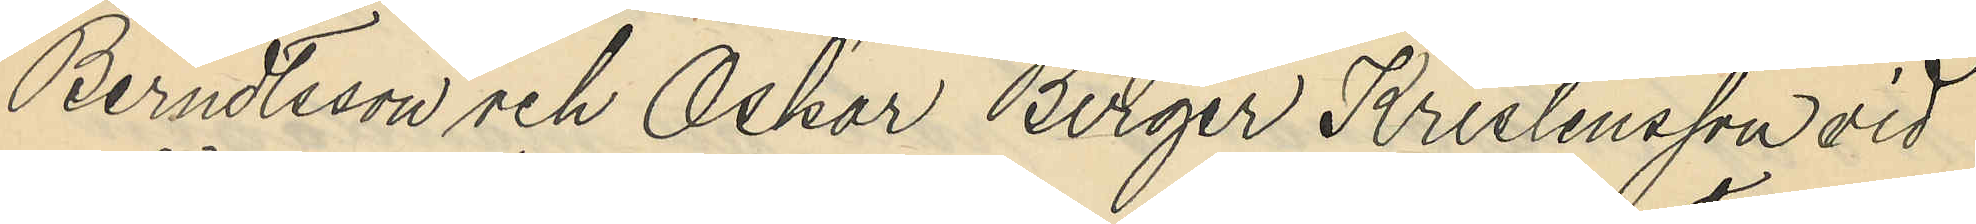Berndtsson och Oskar Birger Kristensson vid
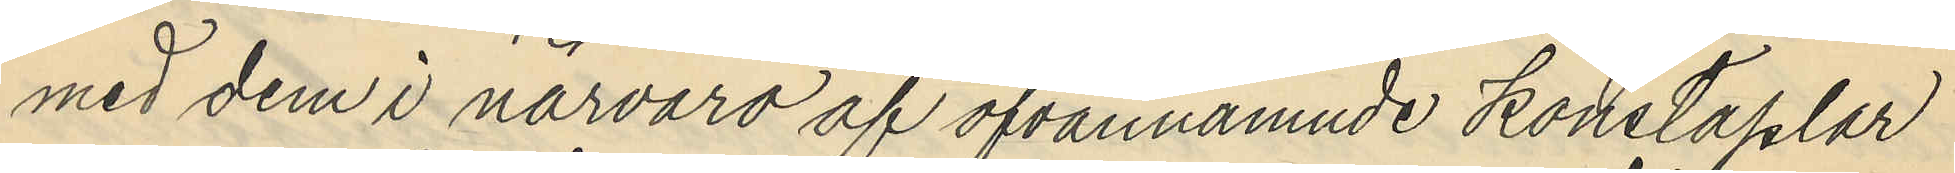med dem i närvaro af ofvannämnde konstaplar
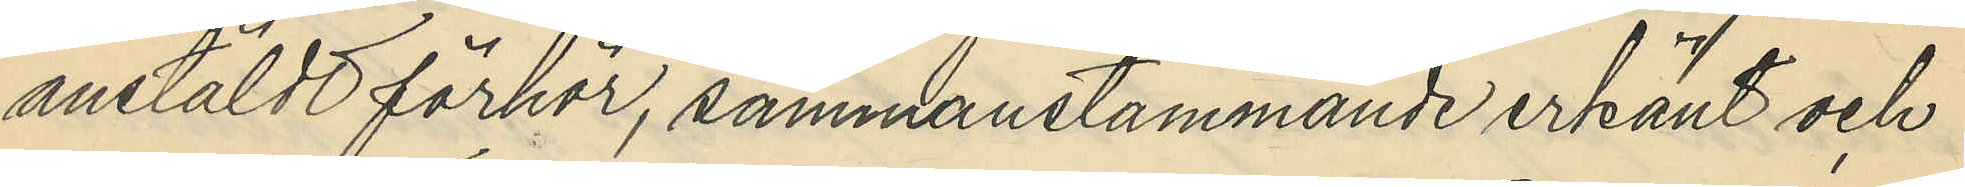anstäldt förhör, sammanstämmande erkänt och
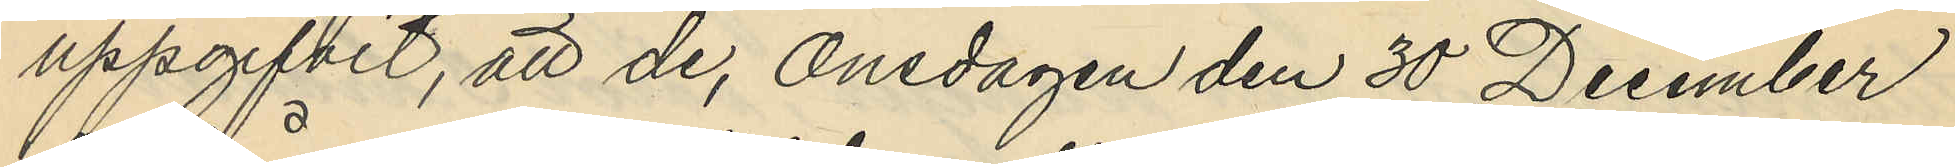uppgifvit, att de, onsdagen den 30 December
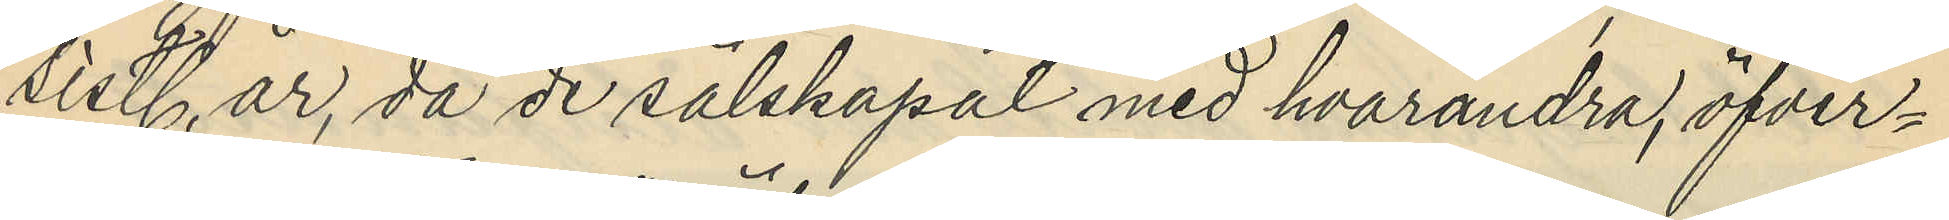sistl. år, då de sälskapat med hvarandra, öfver¬
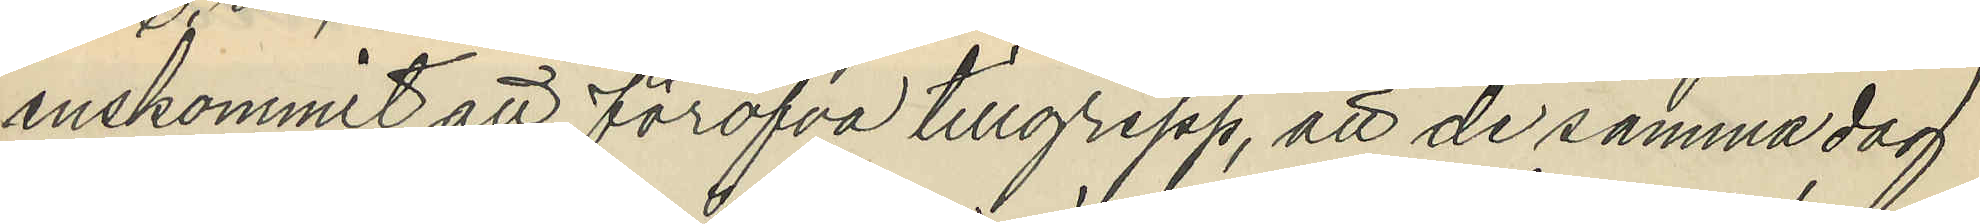enskommit att föröfva tillgrepp, att de samma dag
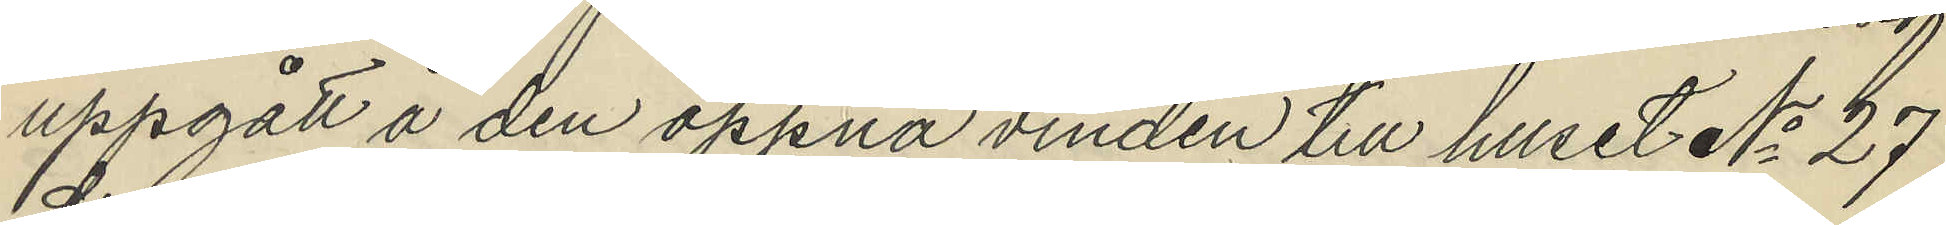uppgått å den öppna vinden till huset No 27
